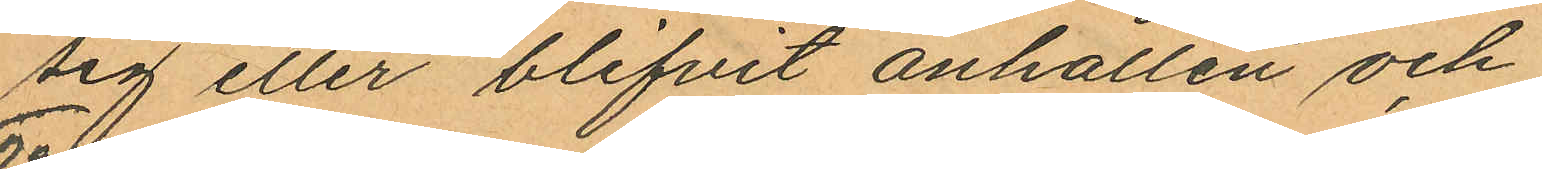sig eller blifvit anhållen och
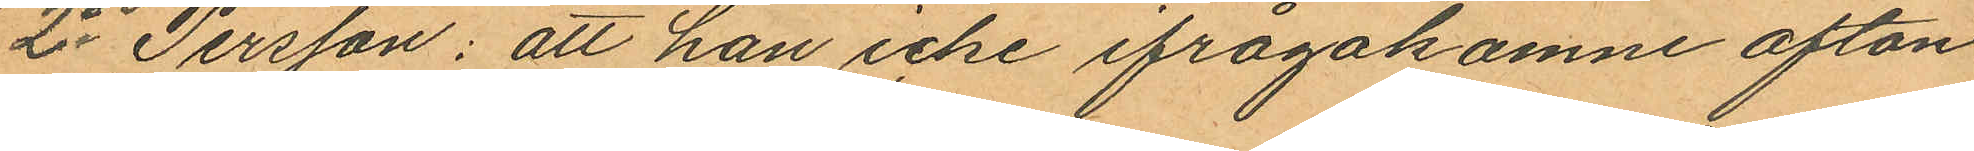2o Persson: att han icke ifrågakomne afton
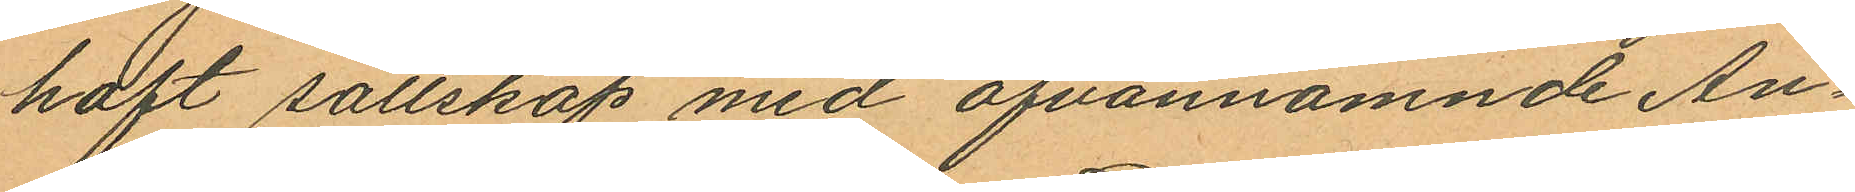haft sällskap med ofvannämnde An¬
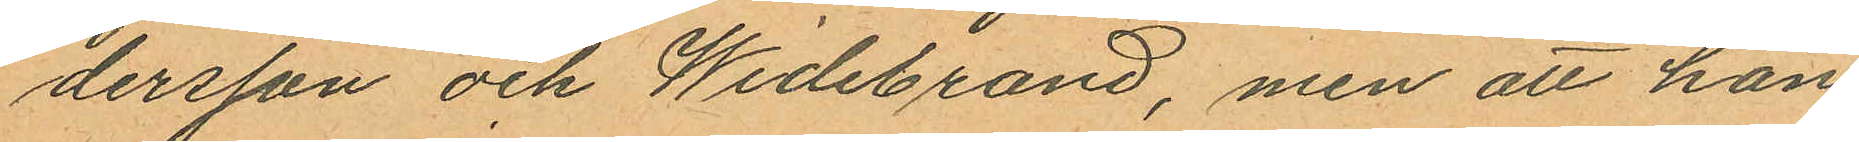dersson och Widebrand, men att han
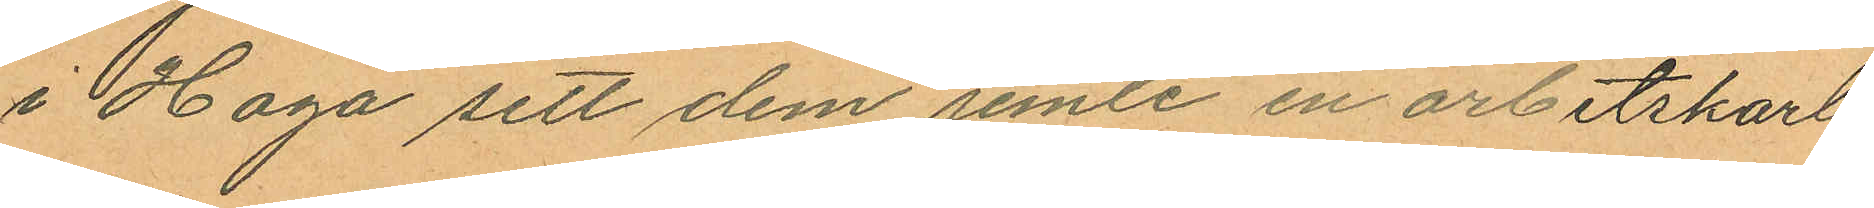i Haga sett dem jemte en arbetskarl
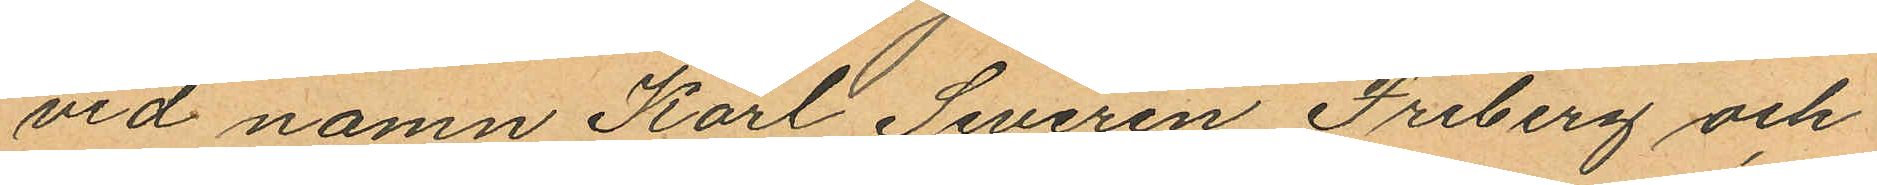vid namn Karl Severin Freberg och
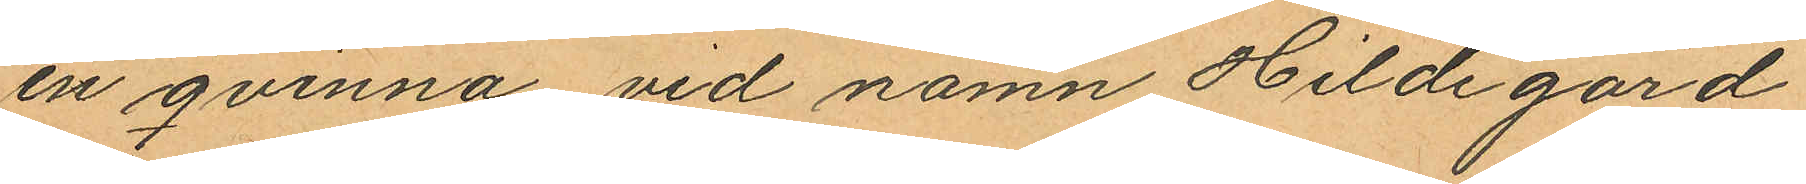en qvinna vid namn Hildegard
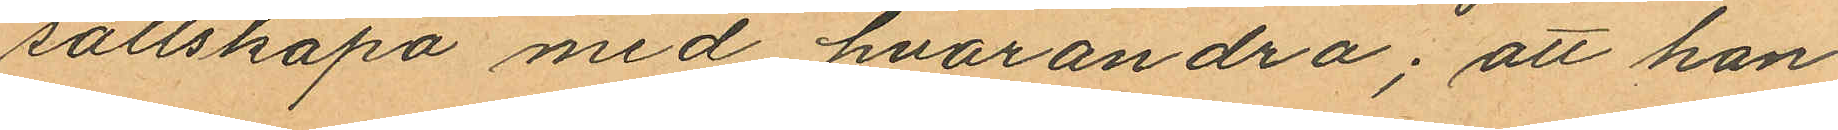sällskapa med hvarandra; att han
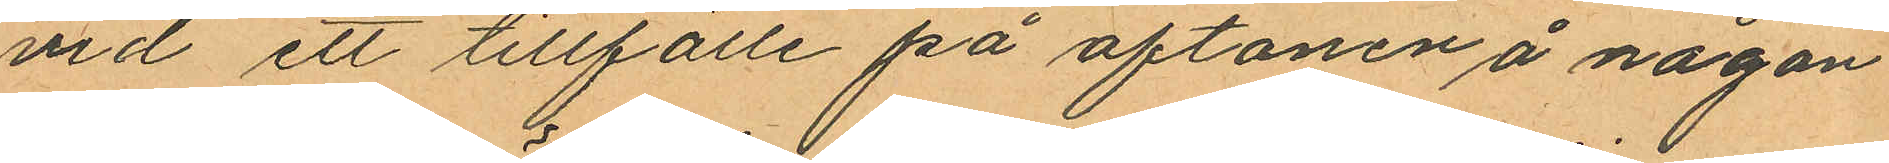vid ett tillfälle på aftonen å någon
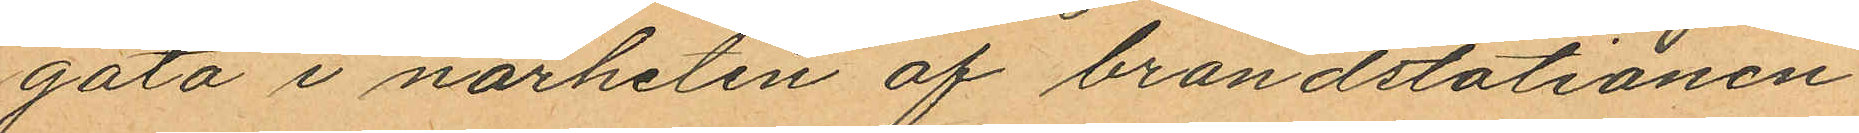gata i närheten af brandstationen
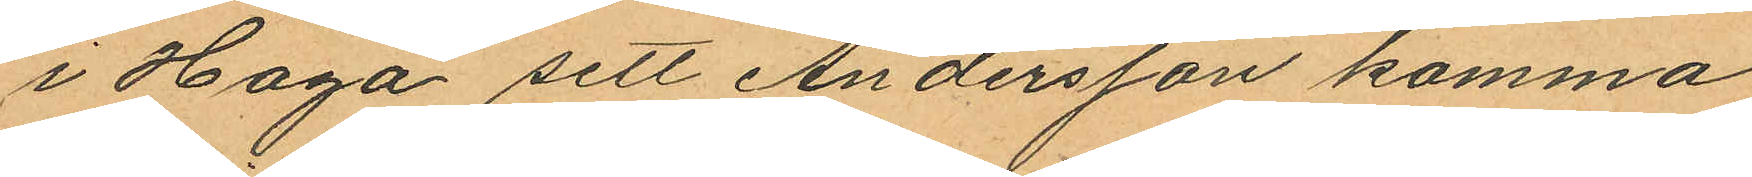i Haga sett Andersson komma
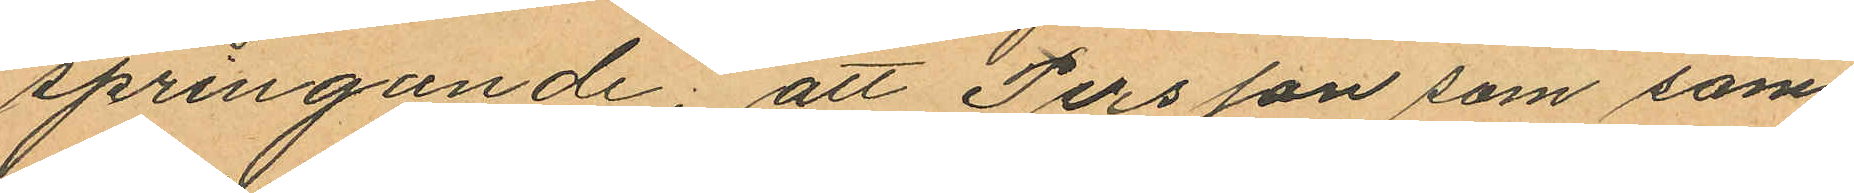springande; att Persson som sam¬
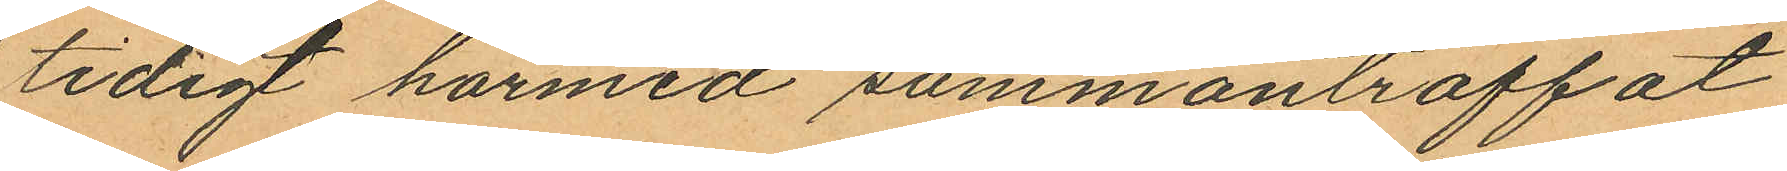tidigt härmed sammanträffat
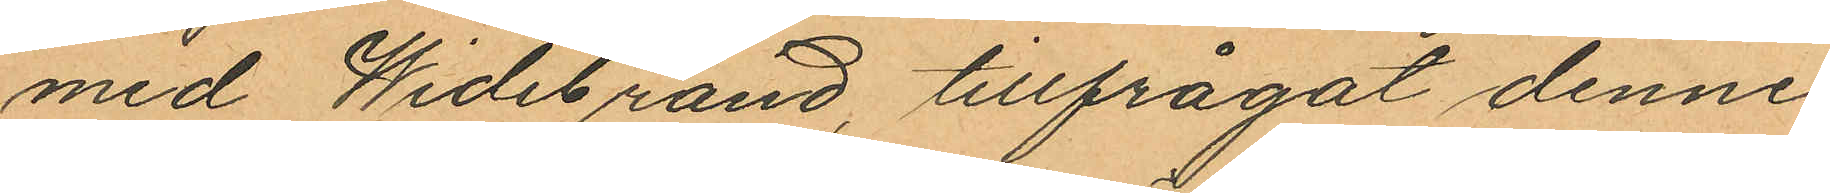med Widebrand, tillfrågat denne
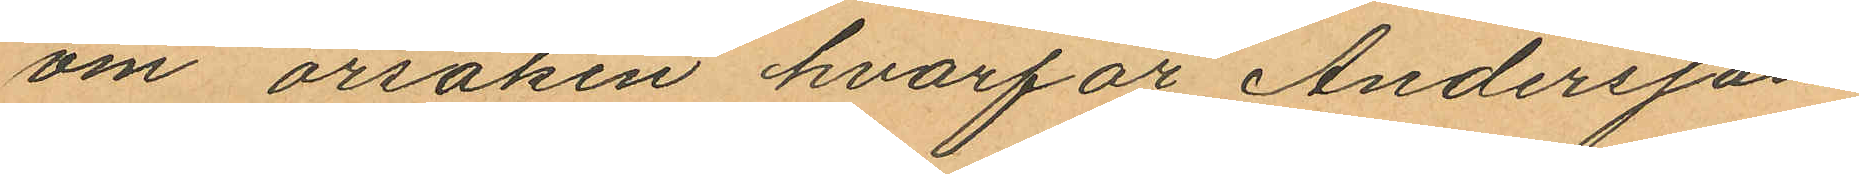om orsaken hvarför Andersson
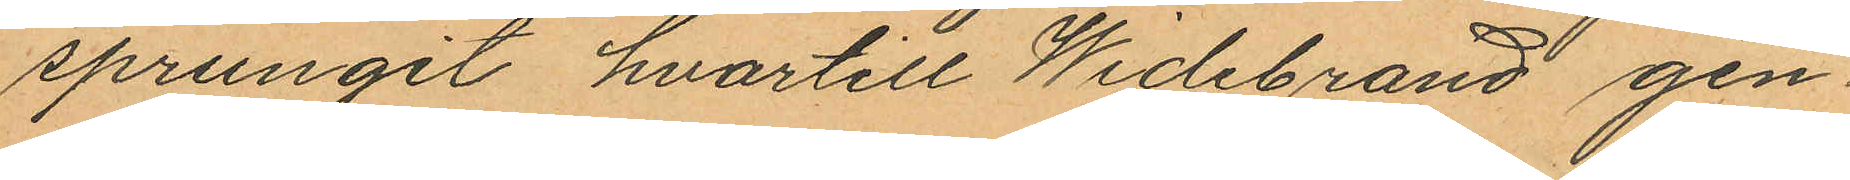sprungit hvartill Widebrand gen
